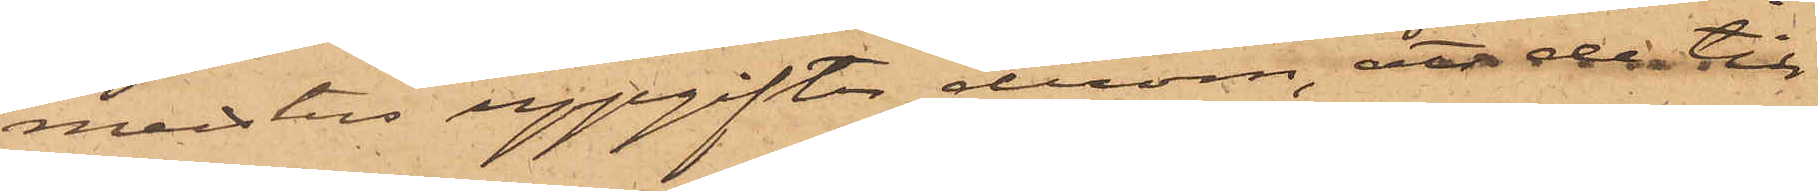meisters uppgifter derom, enär de till¬
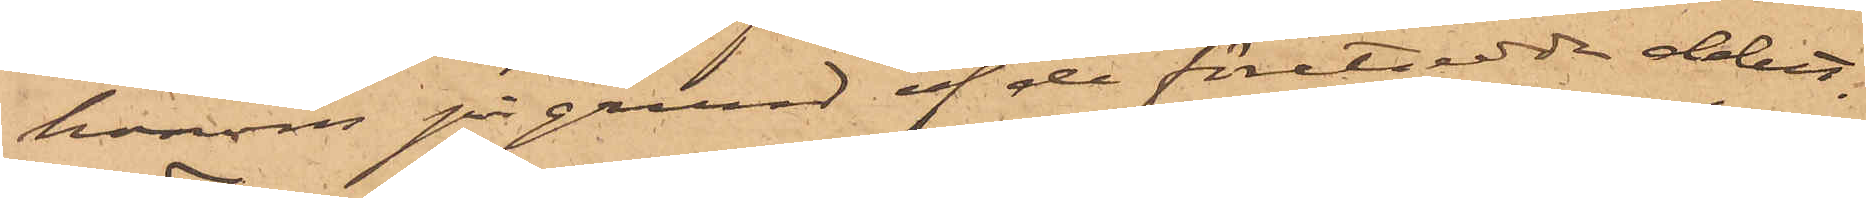honom på grund af de företedda debet¬
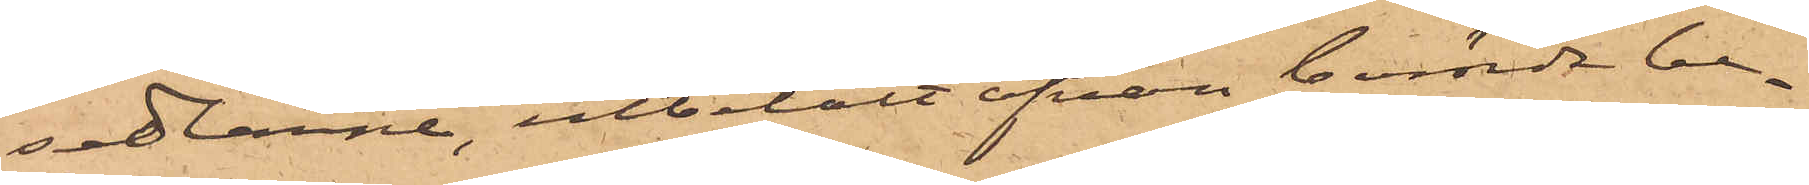sedlarne, utbetalt ofvan berörde be¬
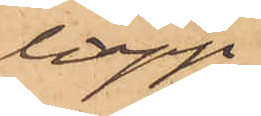lopp.
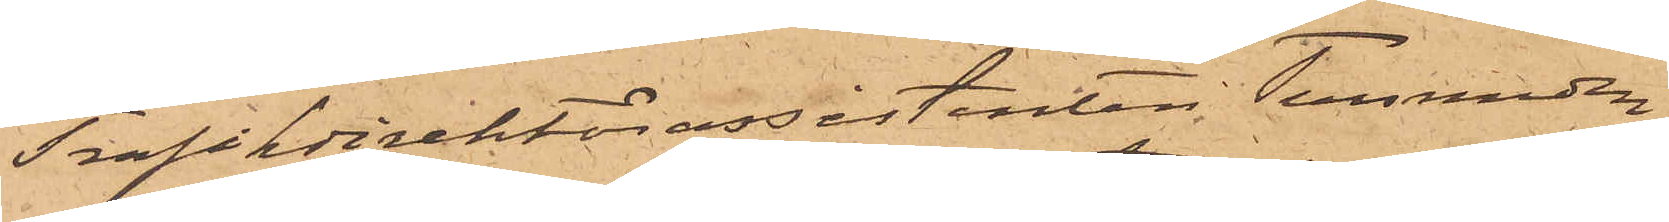Trafikdirektörassistenten Tersmeden
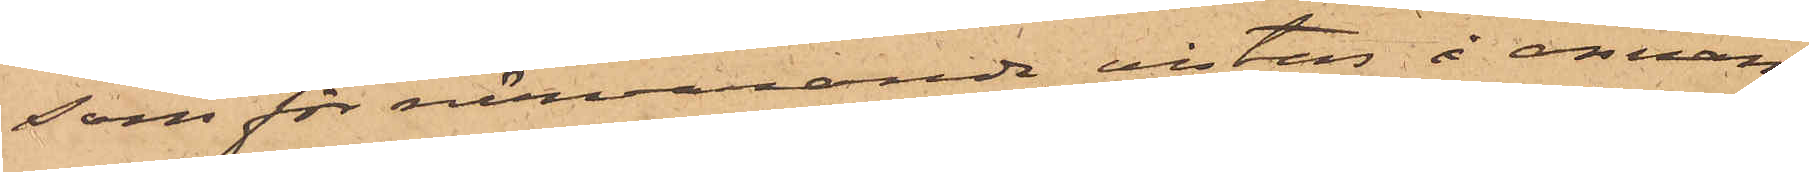som för närvarande vistas å annan
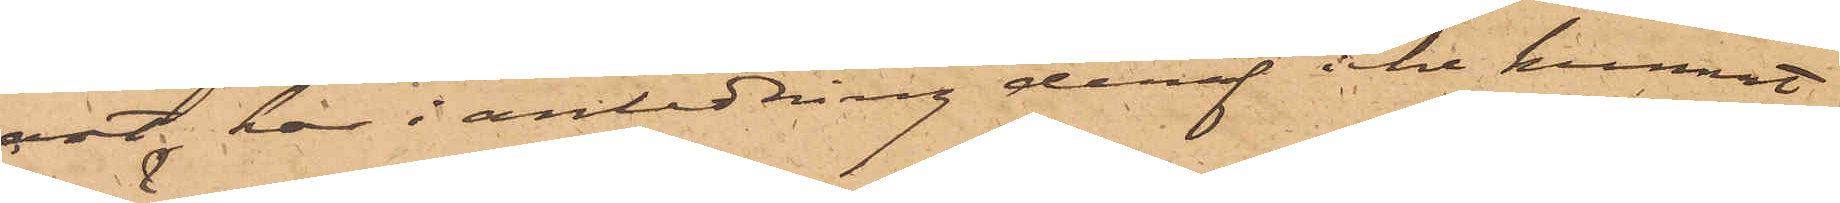ort, har i anledning deraf icke kunnat
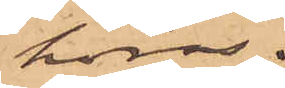höras.
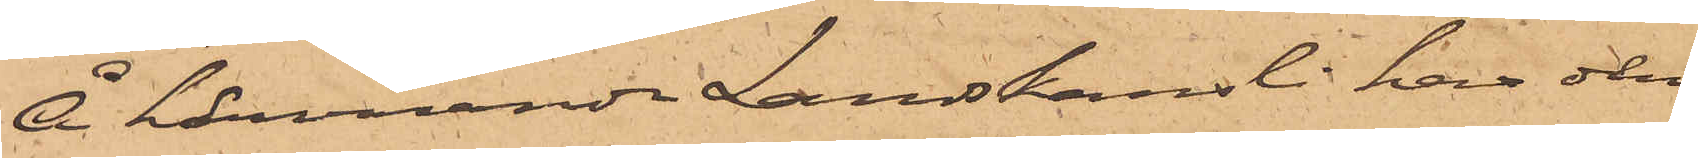Å härvarande Landskansli har den
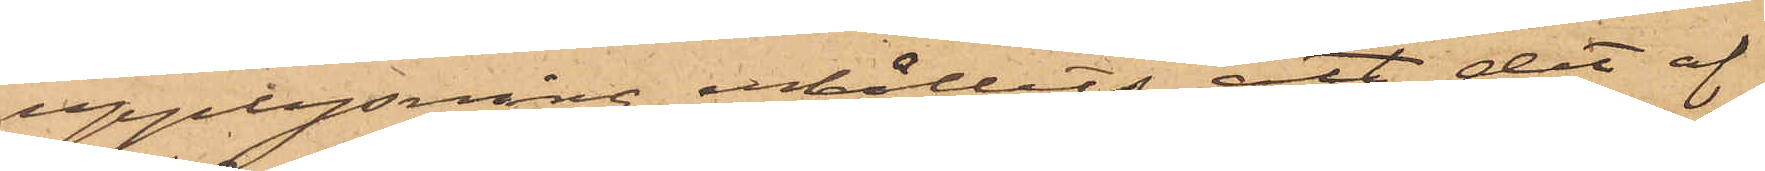upplysning erhållits, att det af
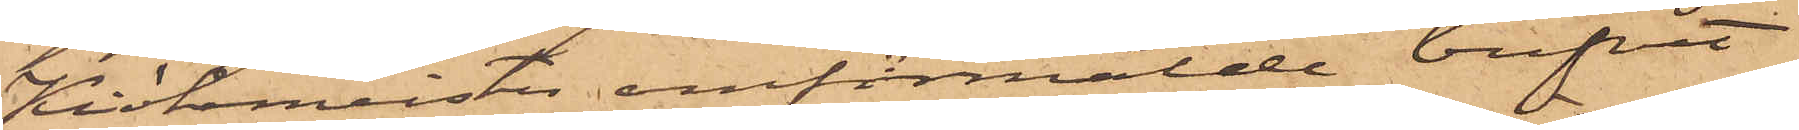Kiökekmeister omförmälde brefvet
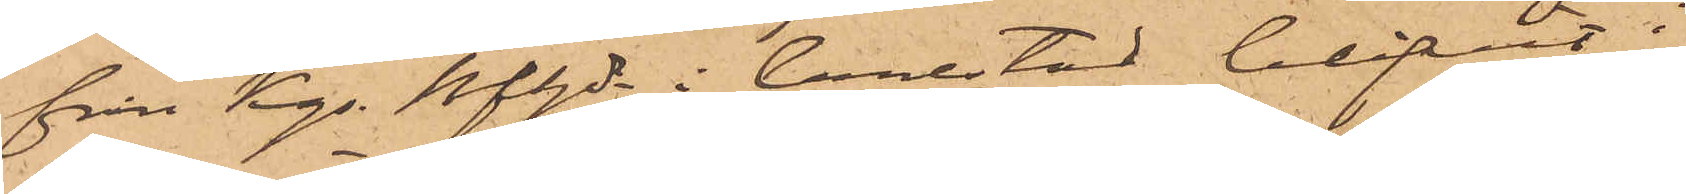från Kgs Bfhde i Carlstad blifvit i
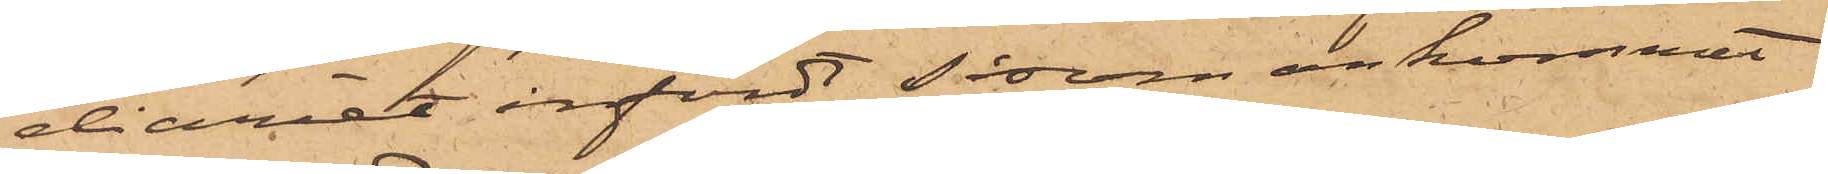diaret infördt såsom ankommit
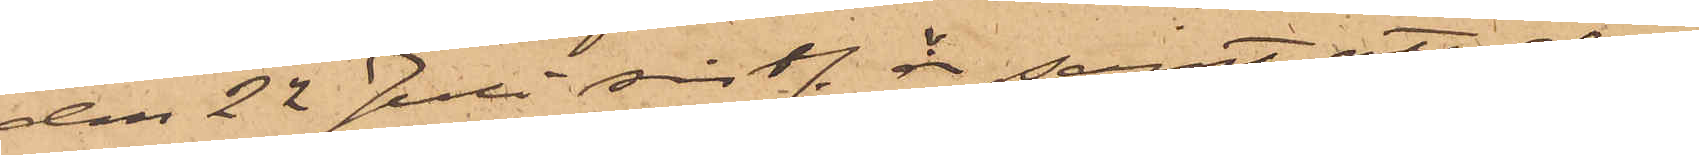den 22 Juli sistl. år; samt att det
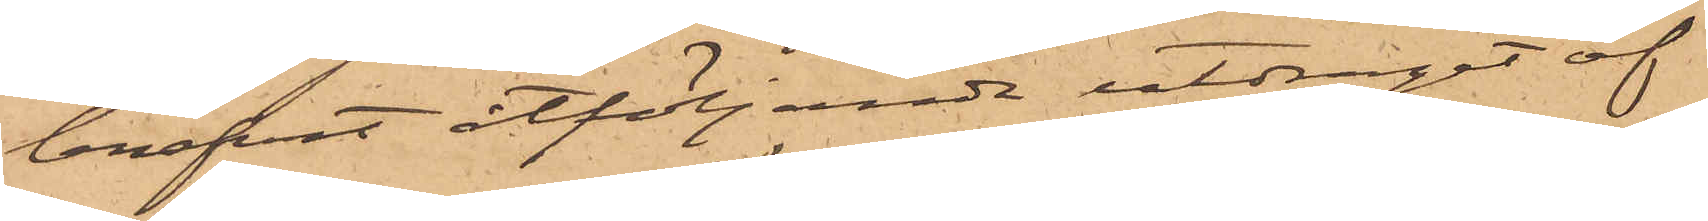brefvet åtföljande utdraget af
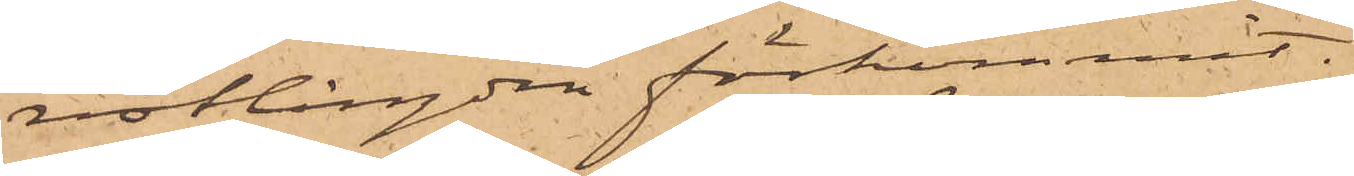restlängden förkommit,
